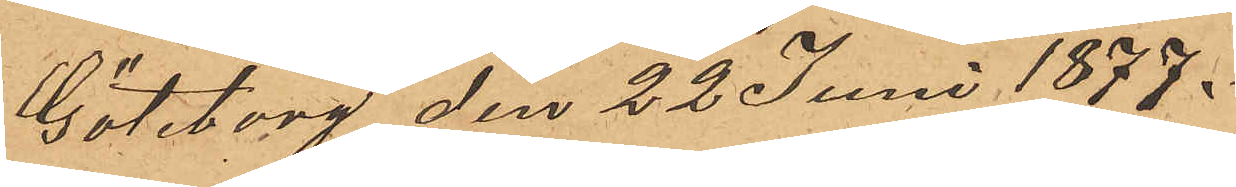Göteborg den 22 Juni 1877.
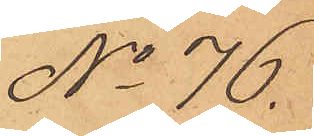No 76.
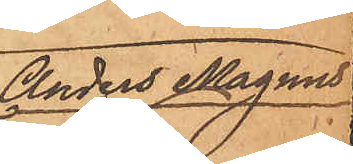Anders Magnus
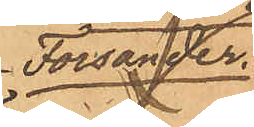Forsander
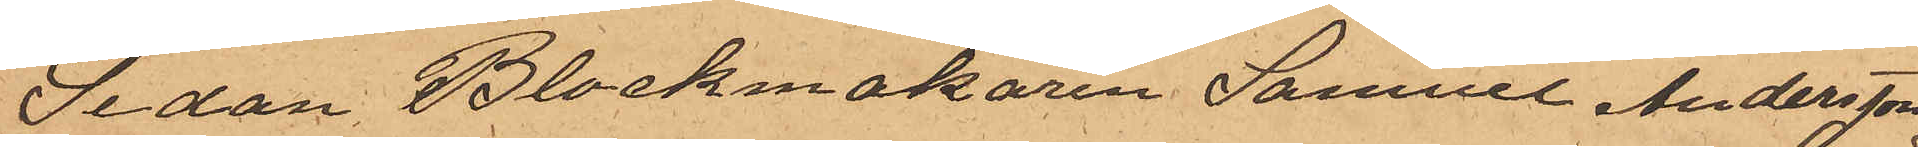Sedan Blockmakaren Samuel Andersson,
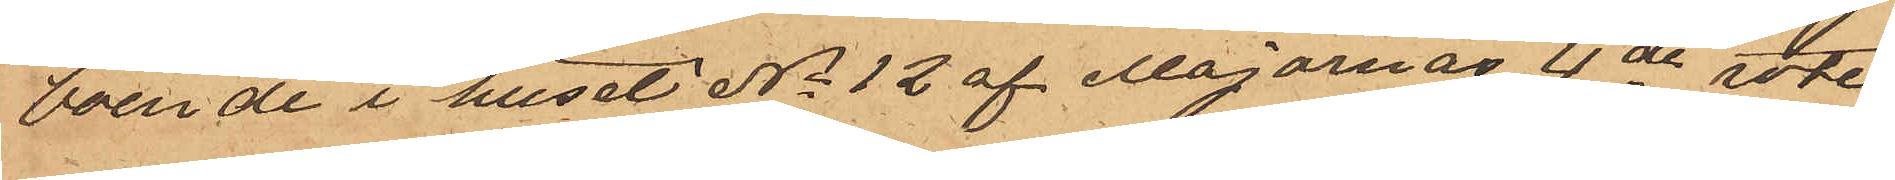boende i huset No 12 af Majornas 4de rote
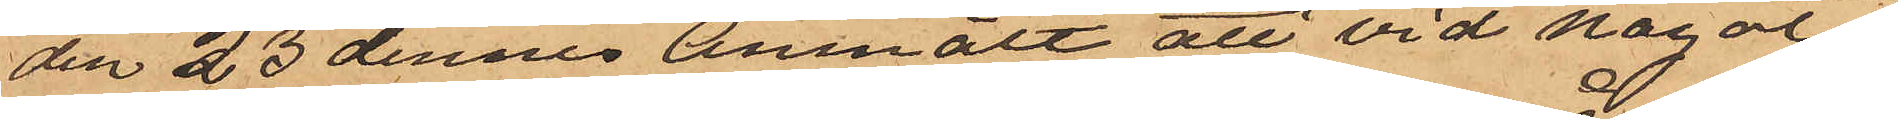den 23 dennes anmält att vid något
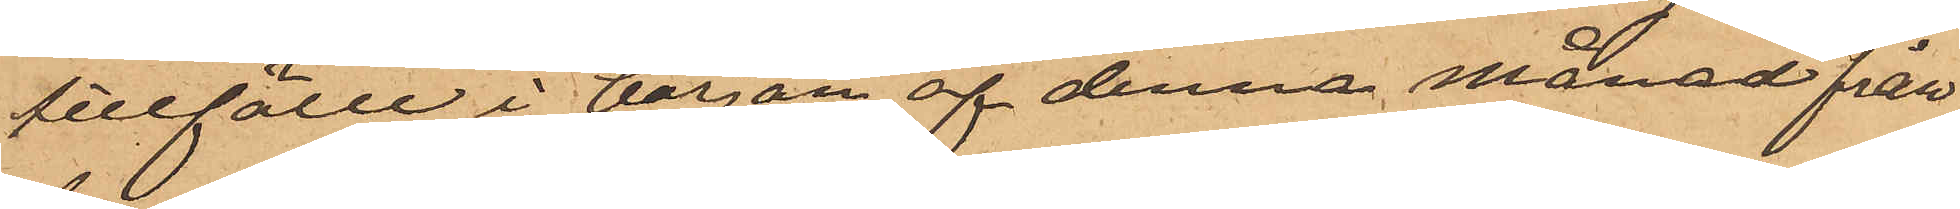tillfälle i början af denna månad från
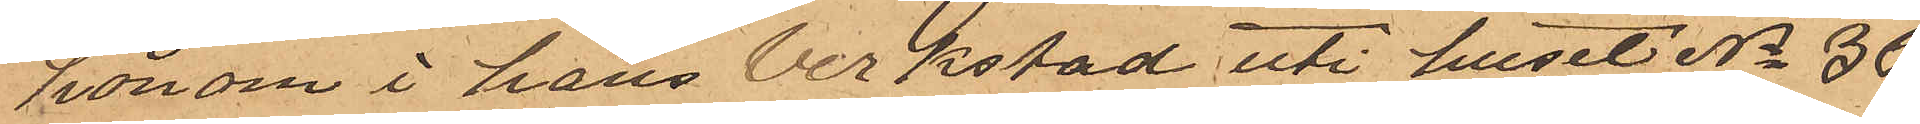honom i hans verkstad uti huset No 36
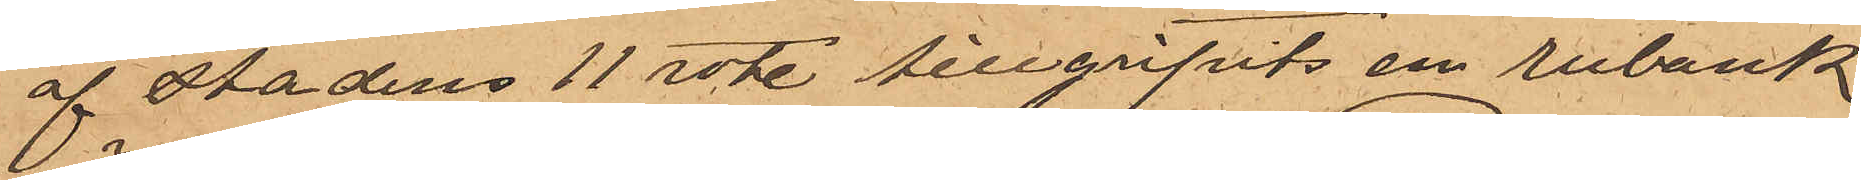af Stadens 11 rote tillgripits en rubank
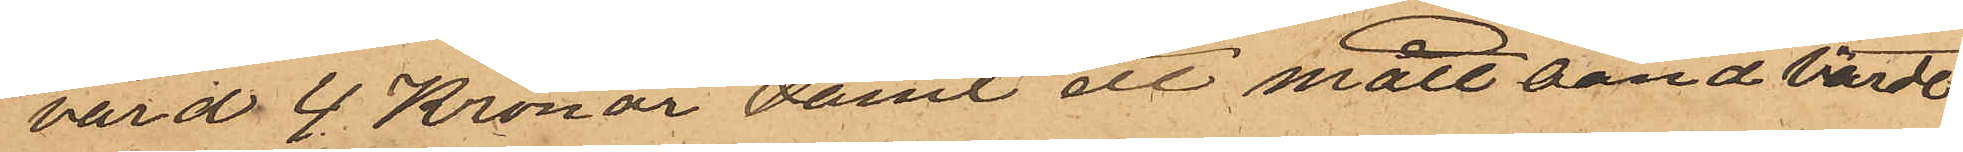värd 4 Kronor samt ett måttband värde
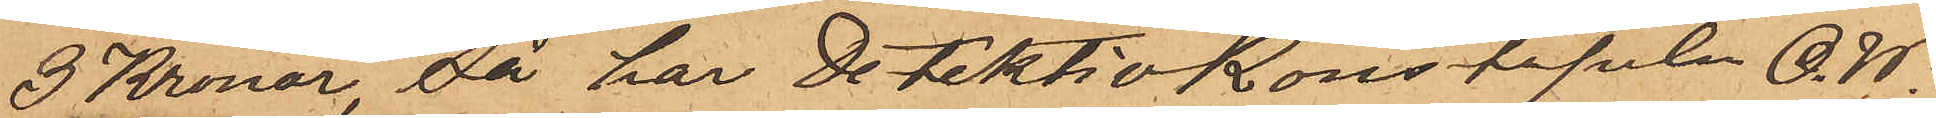3 Kronor, så har Detektivkonstapeln O. W.
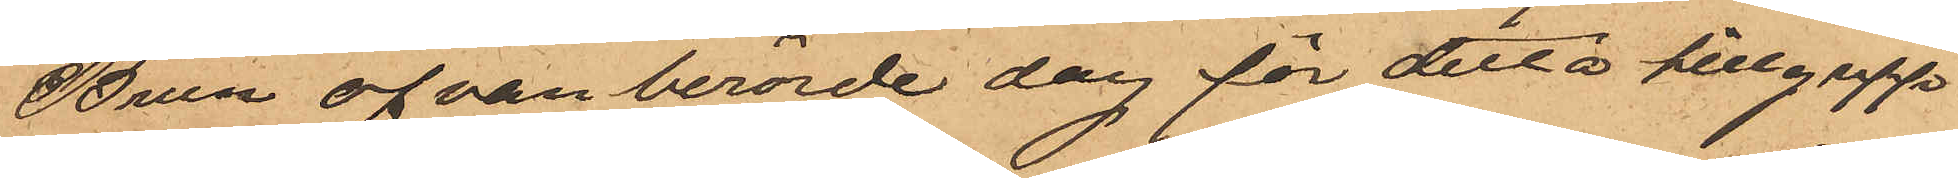Brun ofvanberörde dag för detta tillgrepp
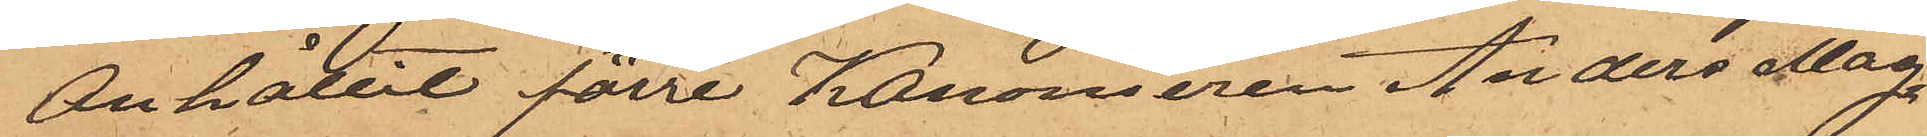anhållit förre Kanonieren Anders Mag¬
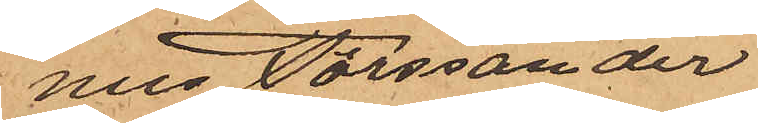nus Forssander
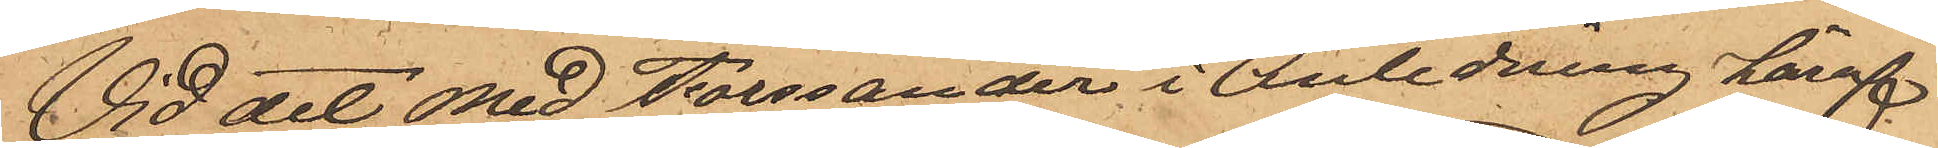Vid det med Forssander i anledning häraf
